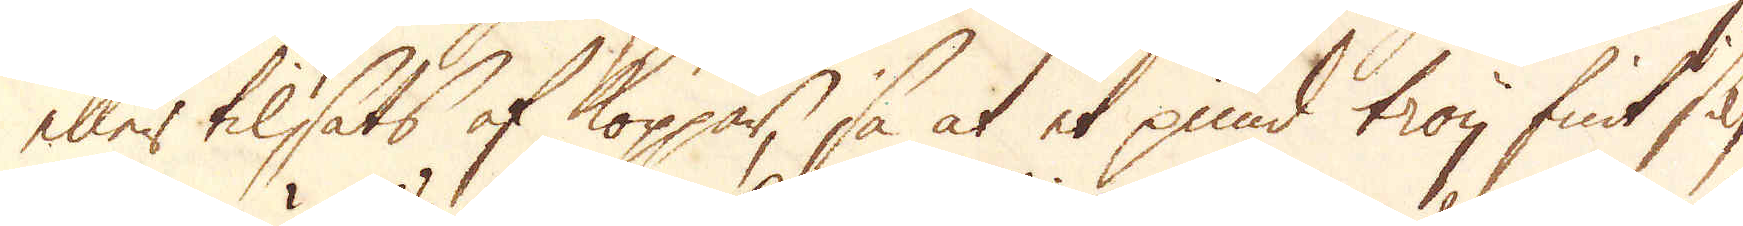eller tilsats af koppar, så at et pund troy fint silf-
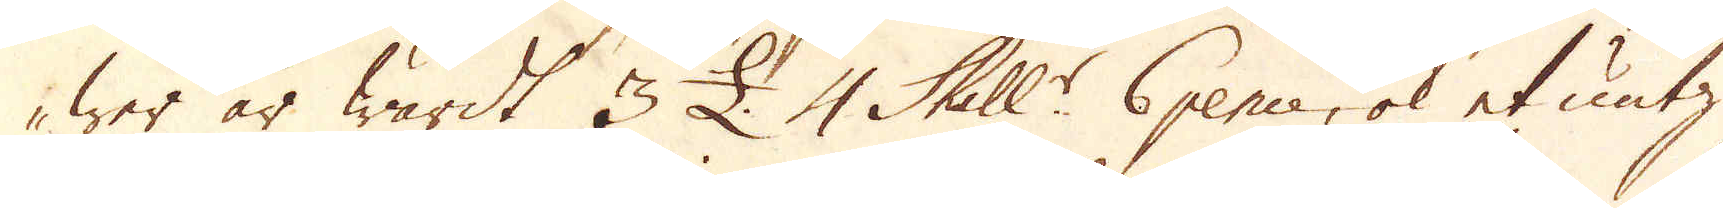wer är wärdt 3 £. 4 Skill:r 6 pence, ok et untz
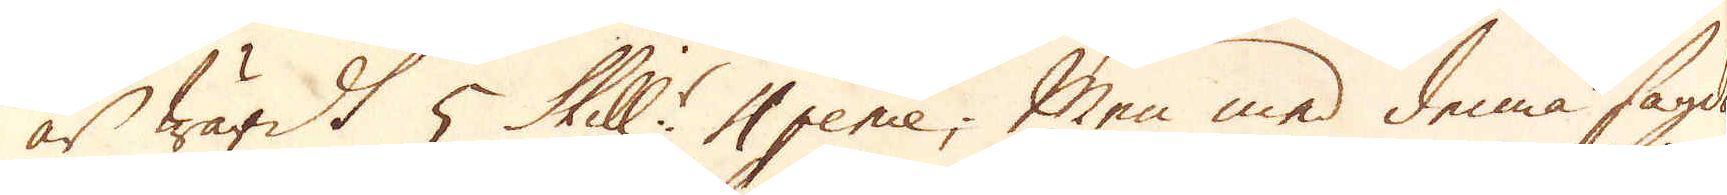är wärdt 5 Skill:r 4 pence; Men med denna sagda
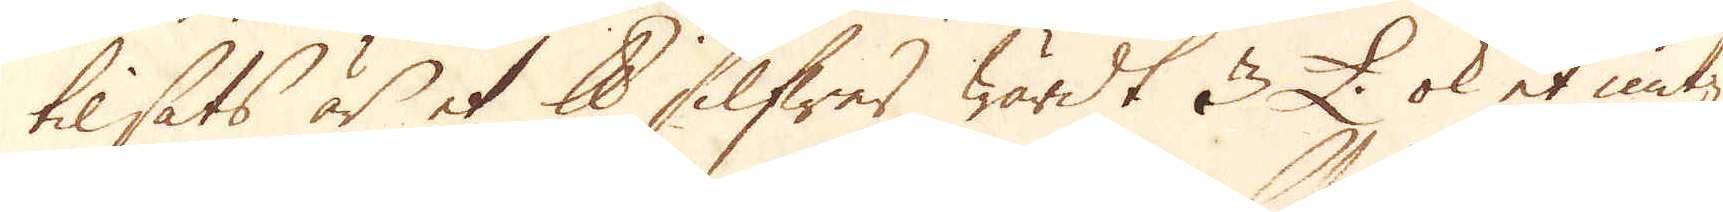tilsats är et skålpund Silfwer wärdt 3 £. ok et untz
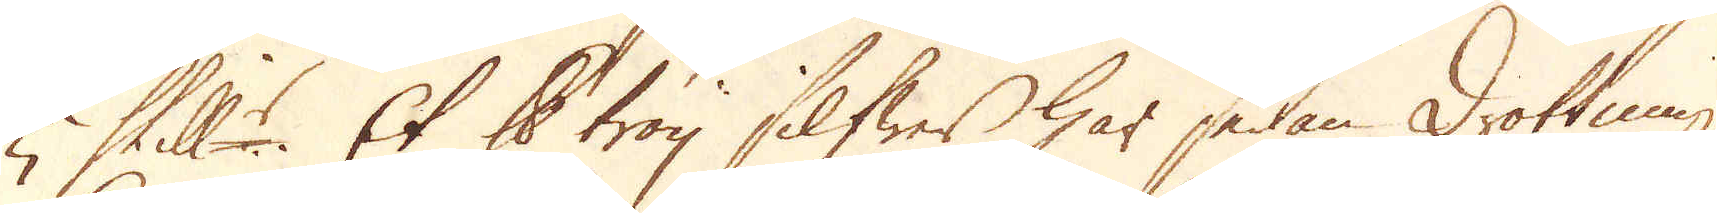5 Skill:r. Et skålpund troy Silfwer har sedan Drottning
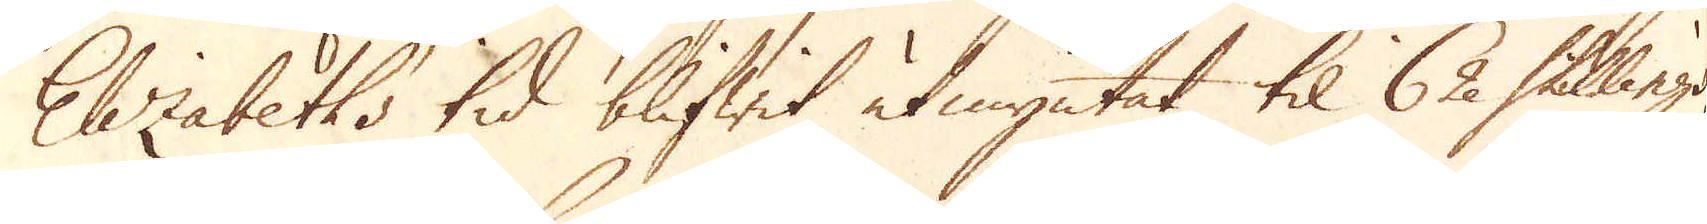Elizabeths tid blifwit utmyntat til 62 Skillings,
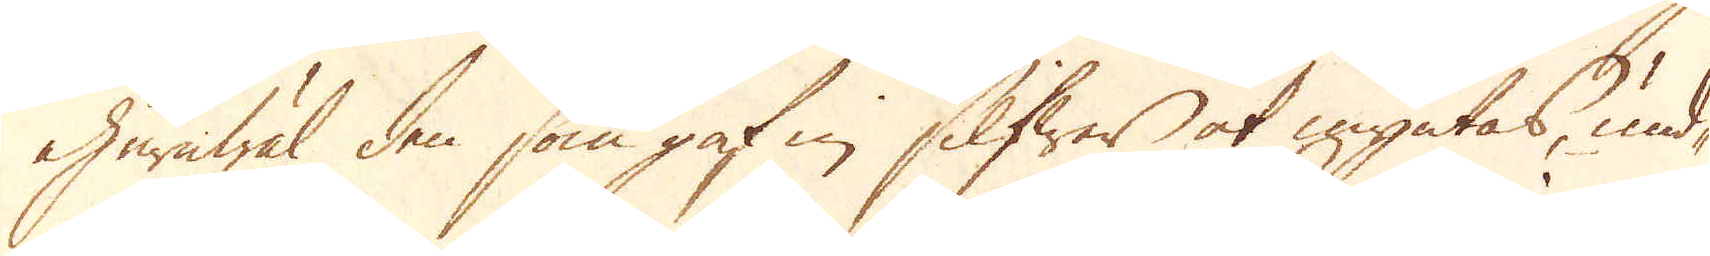ehuruwäl den som gaf in Silfwer at myntas, und-
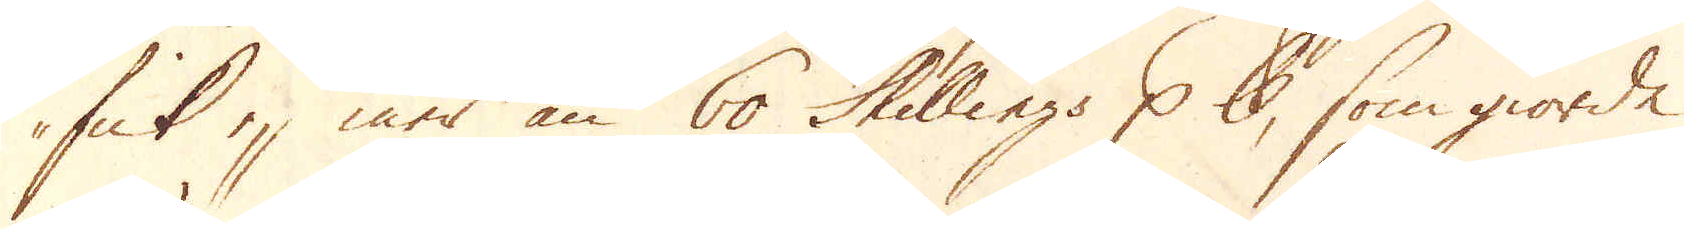fick ej mer än 60 Skillings p pund, som giorde
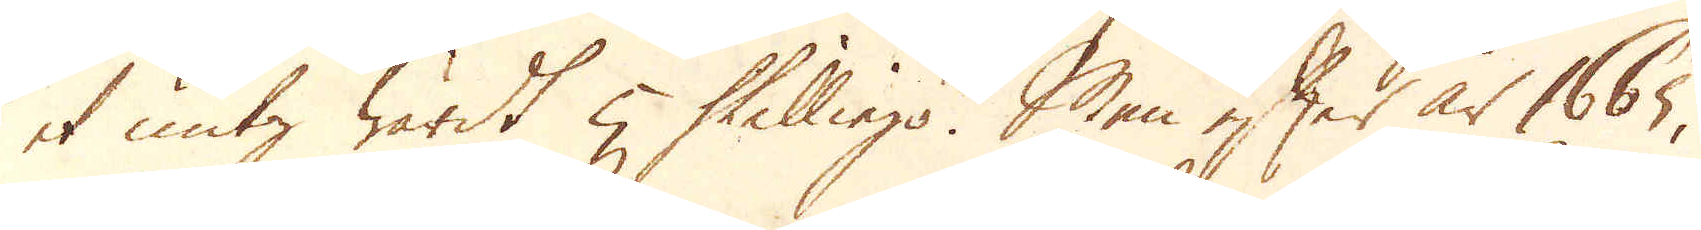et untz wärdt 5 Skillings. Men efter år 1665,
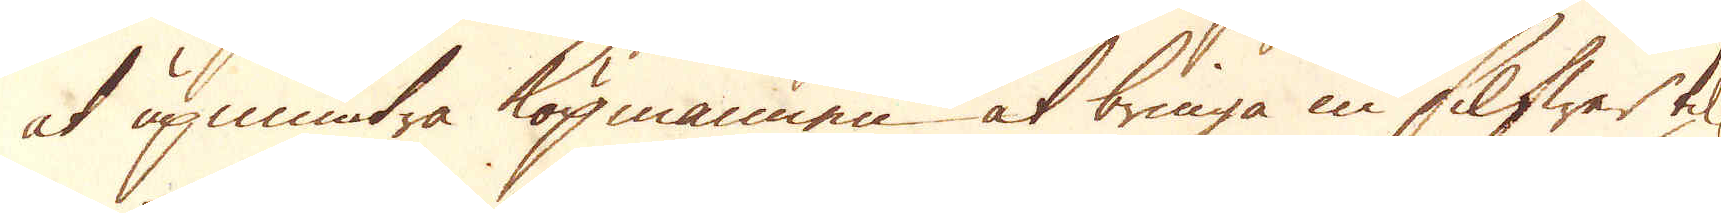at upmuntre köpmannen at bringa in Silfwer til
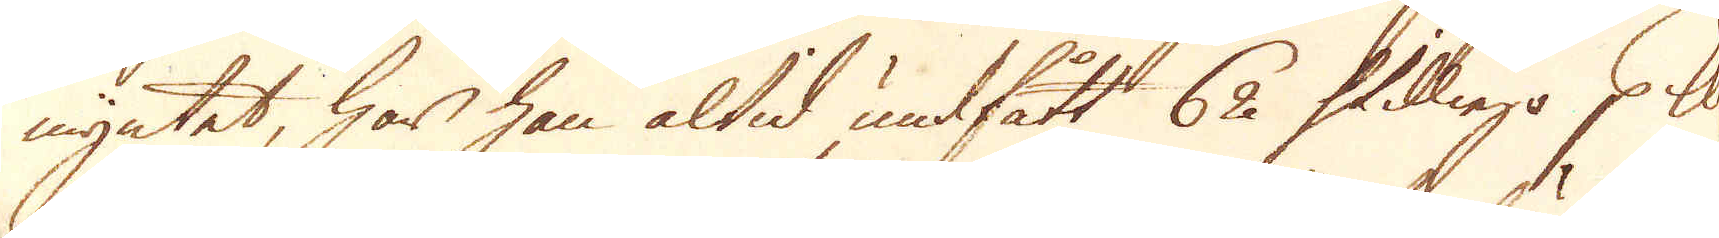myntet, har han altid undfått 62 Skillings p skålpund
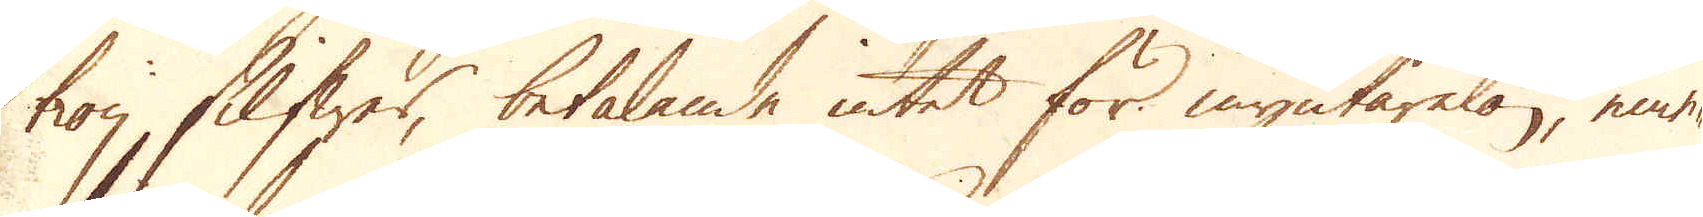troy Silfwer, betalande intet för myntarelön, eme-
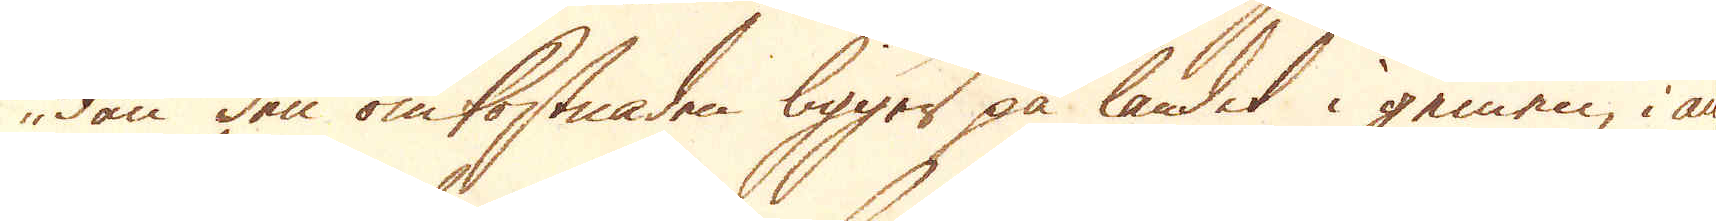dan den omkostnaden ligger på landet i gemen, i an-
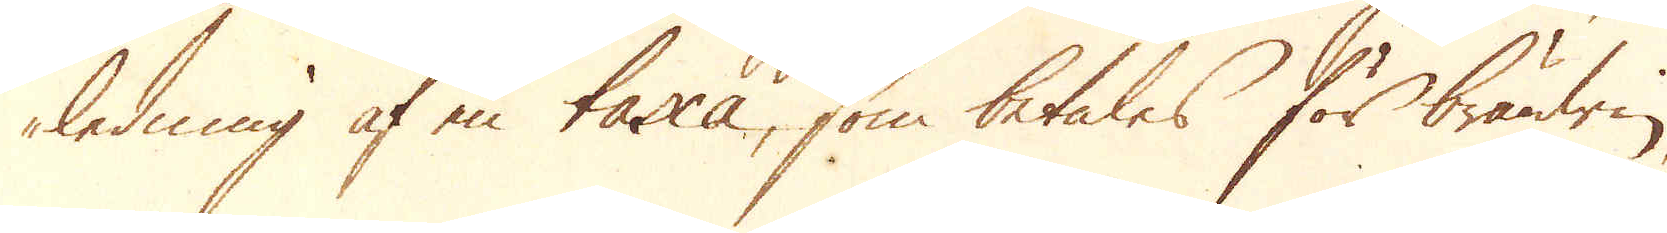ledning af en taxa, som betales för brändwin,
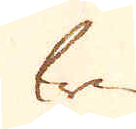win
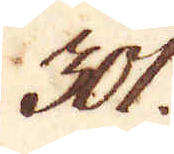301.
